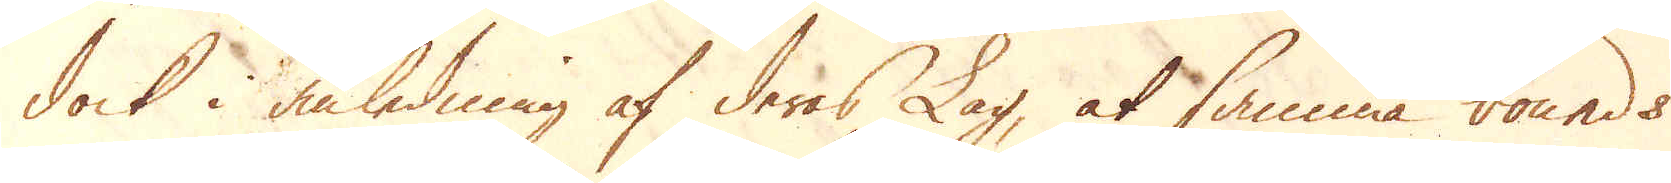dock i anledning af deras Lag, at samma bounds
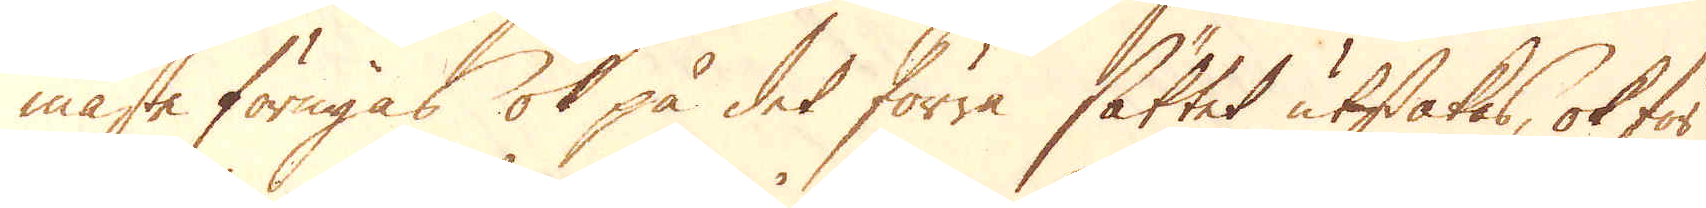måste förnyas ok på det förra sättet utstakas, ok för
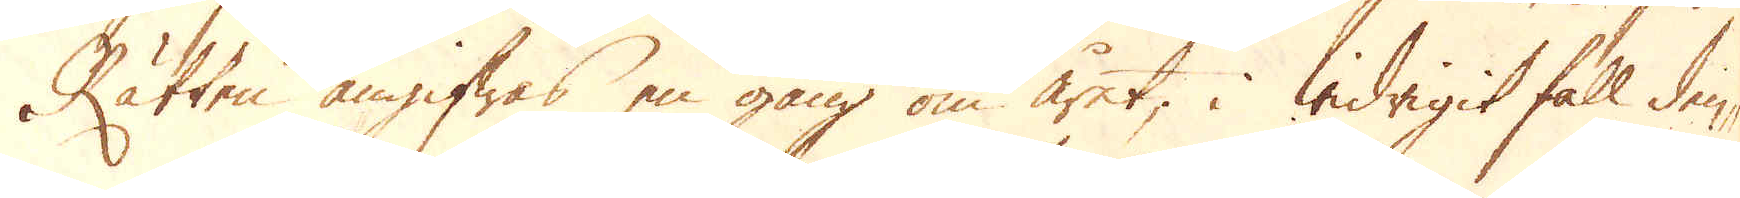Rätten angifwas en gång om året; i widrigit fall den-
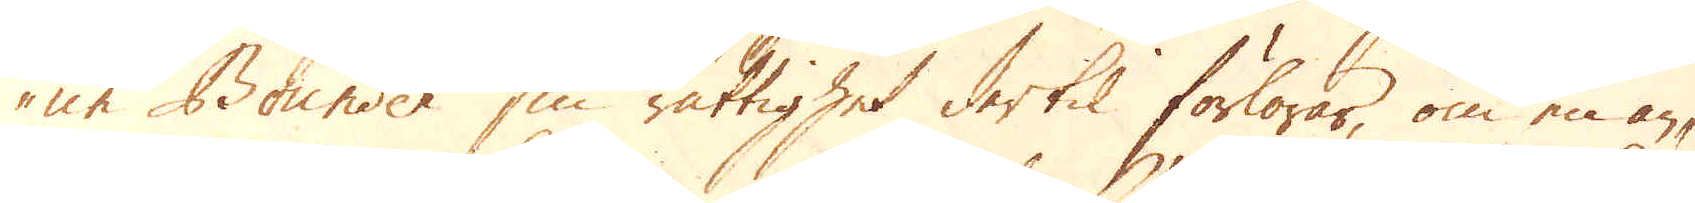ne Bounder sin rättighet dertil förlorar, om en an-
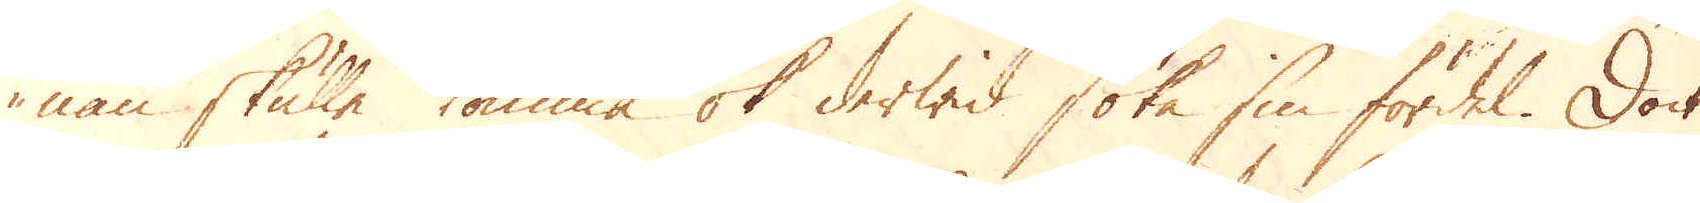nan skulle komma ok derwid söka sin fördel. Dock
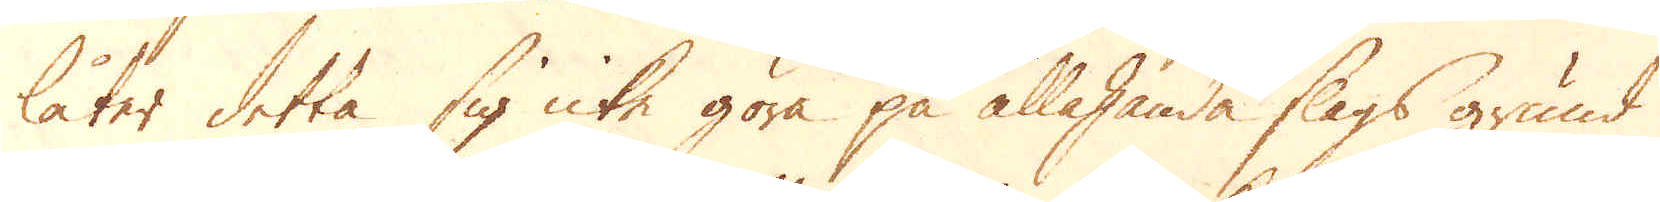låter detta sig icke göra på allahanda slags grund
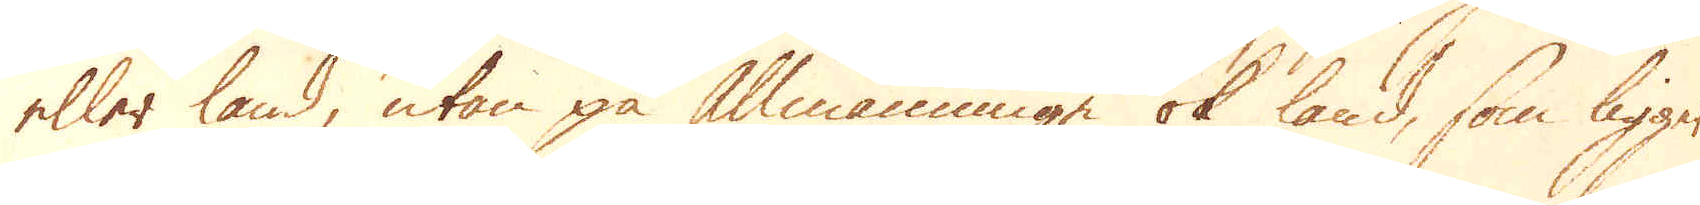eller land, utan på Allmänningar ok land, som ligger
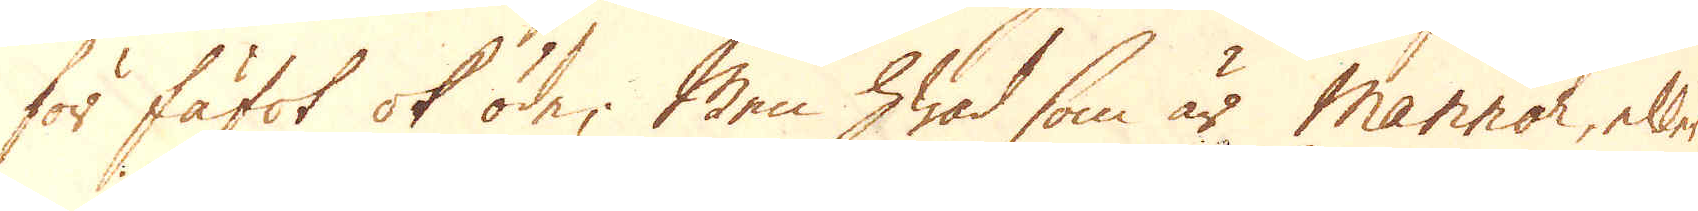för fäfot ok öde; Men hwad som är Mannor, eller
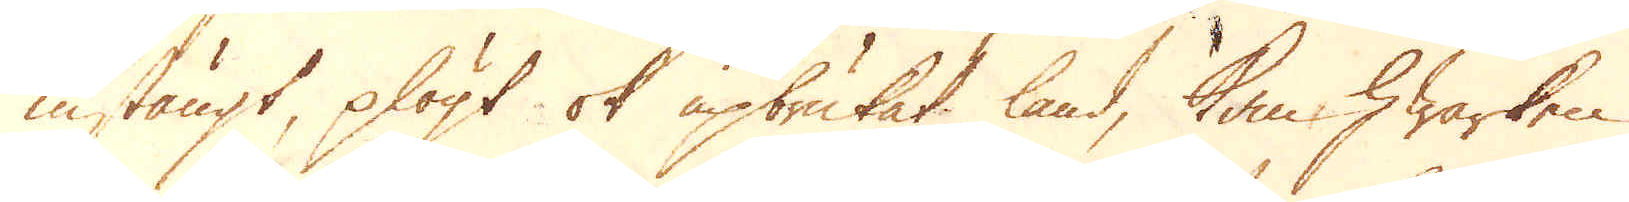instängt, plögt ok upbrukat land, kan hwarken
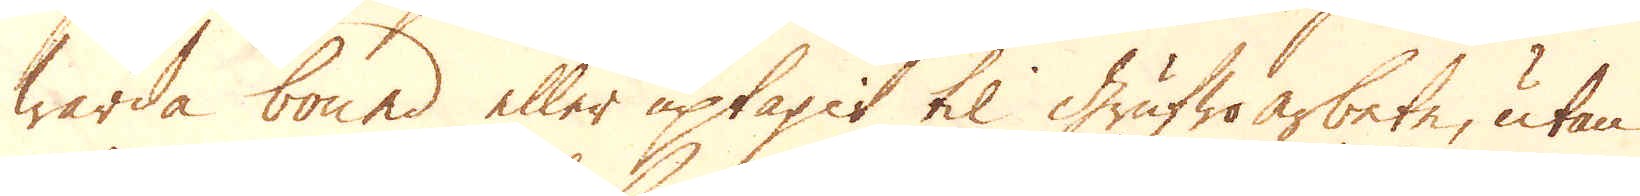warda bound eller uptagit til grufwoarbete, utan
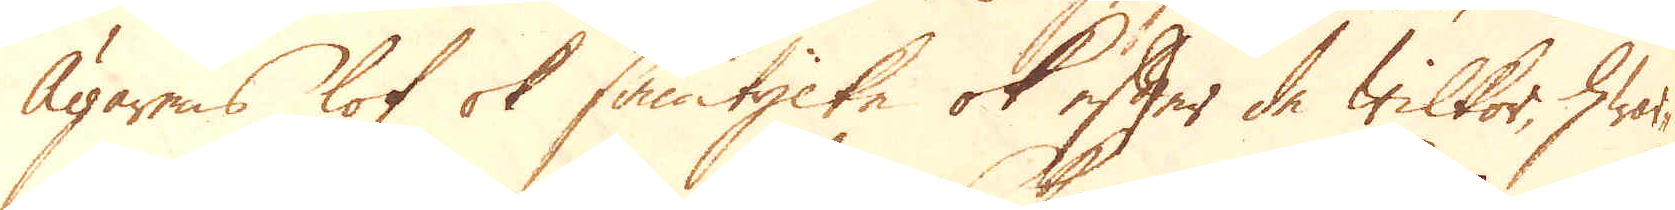Ägarens lof ok samtycke ok efter de wilkor, hwar-
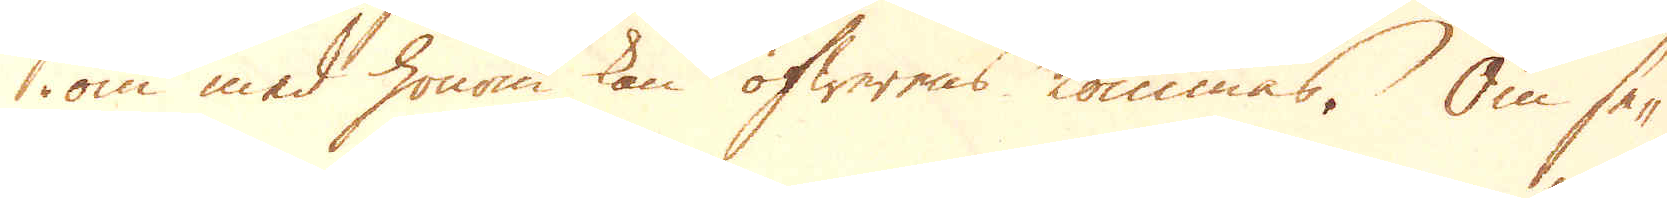om med honom kan öfwerens kommas. Om se-
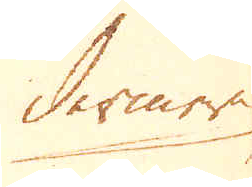dermera
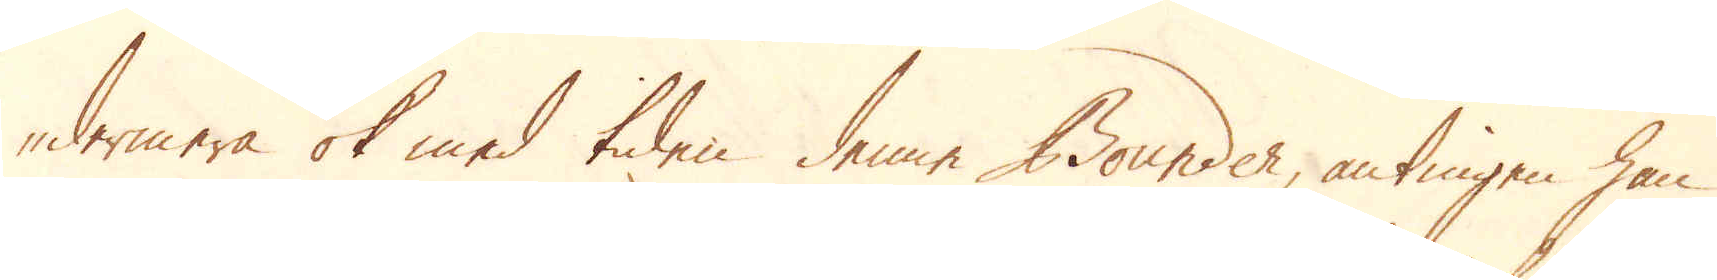dermera ok med tiden denne Bounder, antingen han
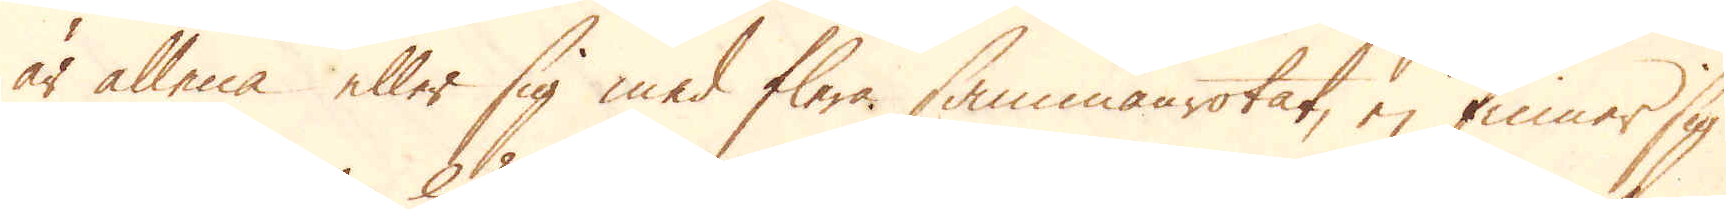är allena eller sig med flera sammanrotat, ej finner sig
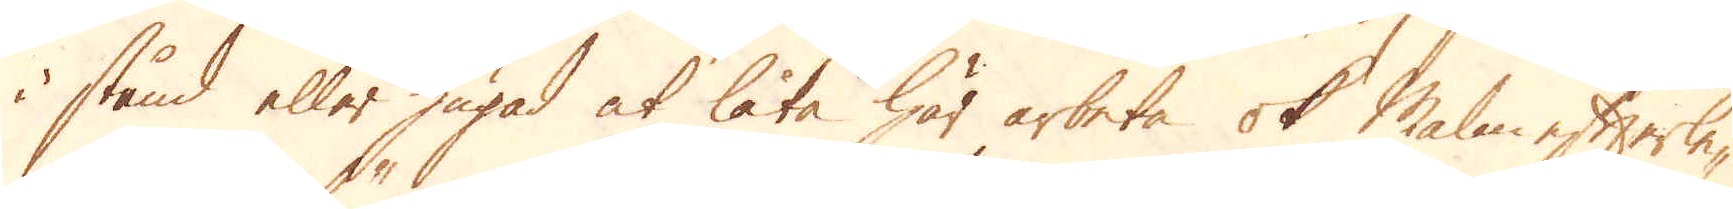i stånd eller hugad at låta här arbeta ok Malm efterle-
